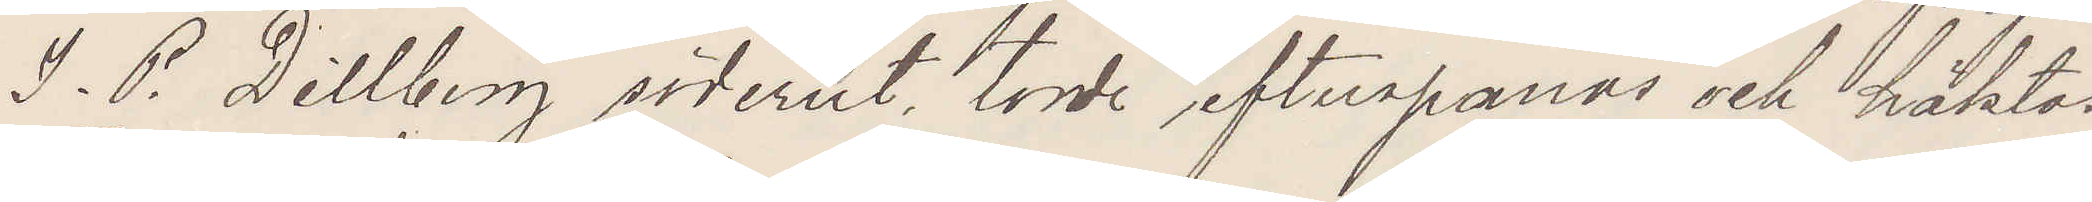I. P. Dillberg söderut torde efterspanas och häktas.
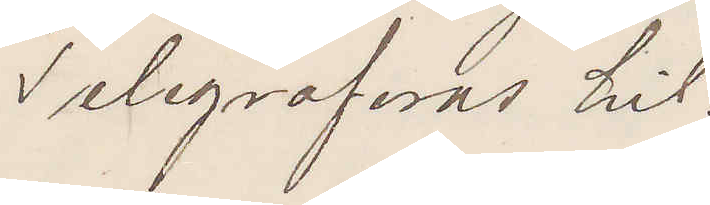Telegrafsvar hit.
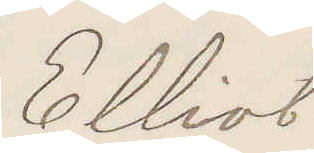Elliot
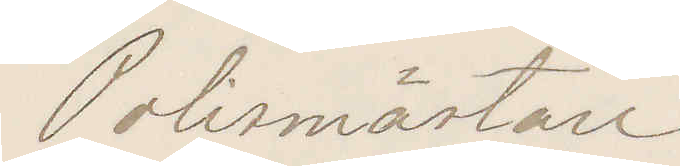Polismästare
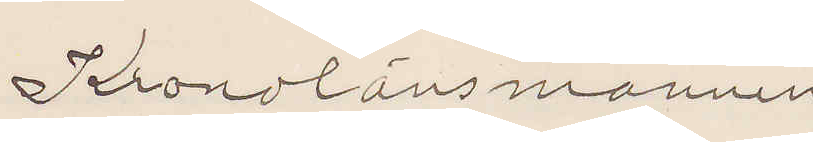Kronolänsmannen
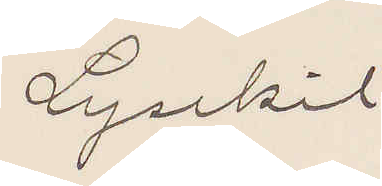Lysekil.
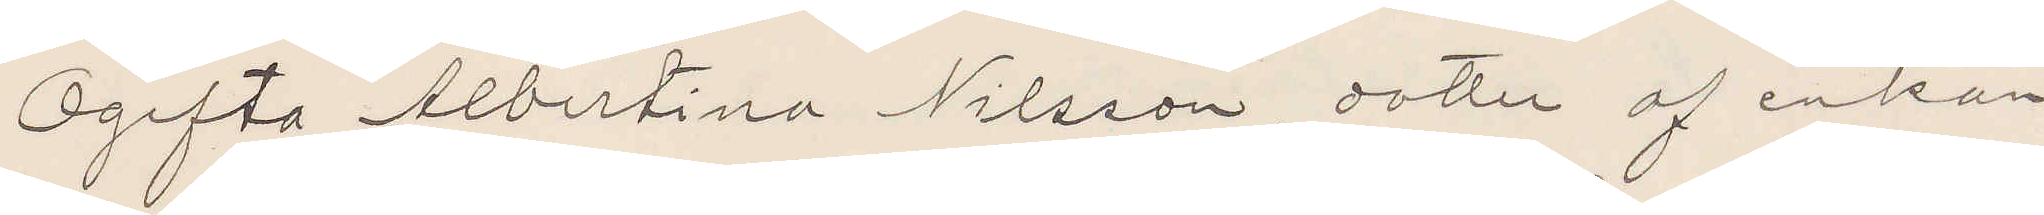Ogifta Albertina Nilsson, dotter af enkan
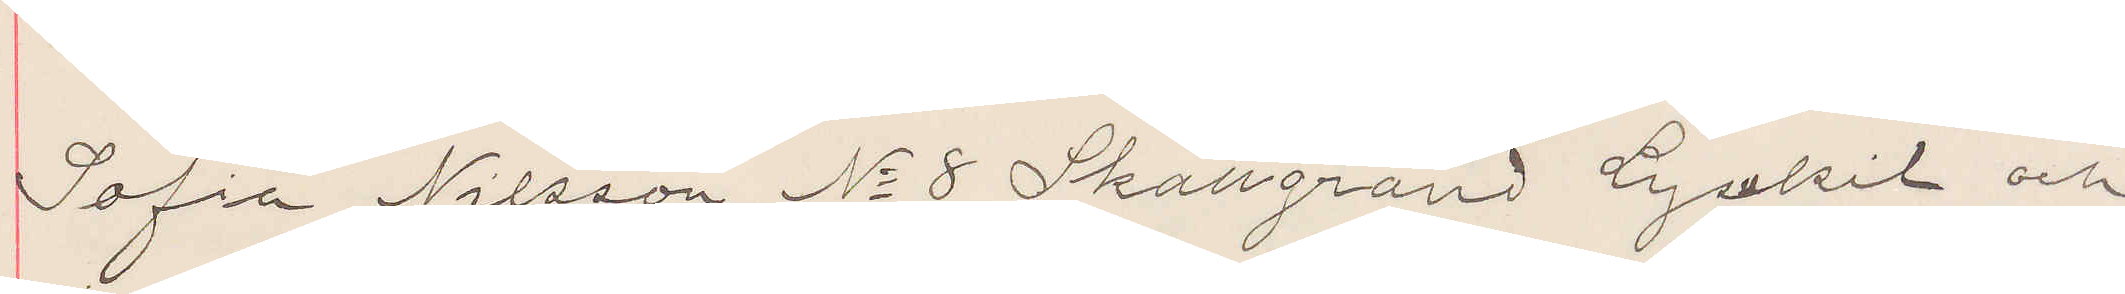Sofia Nilsson No 8 Skattgränd Lysekil och
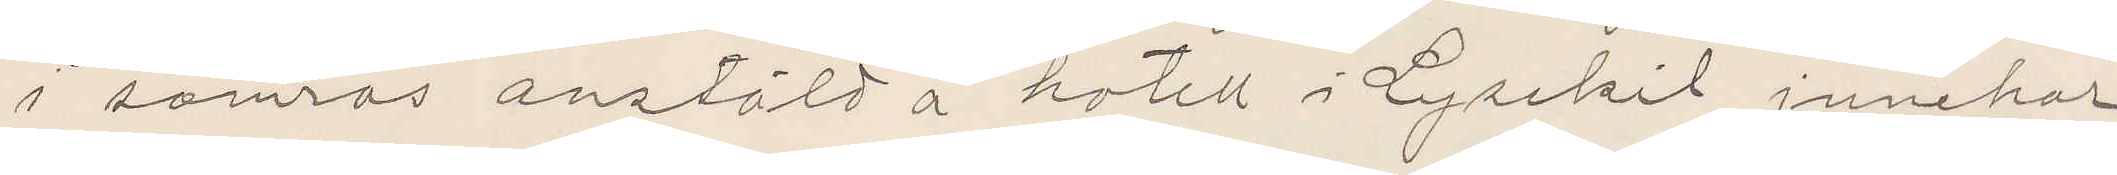i somras anstäld å hotell i Lysekil innehar
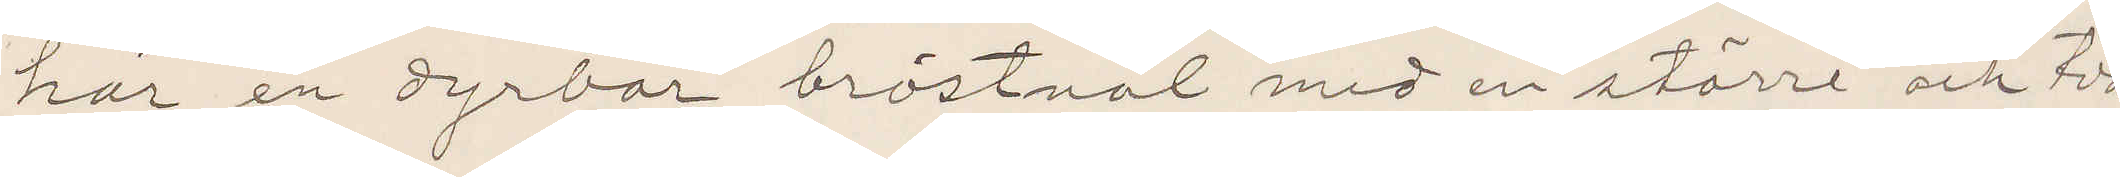här en dyrbar bröstnål med en större och två
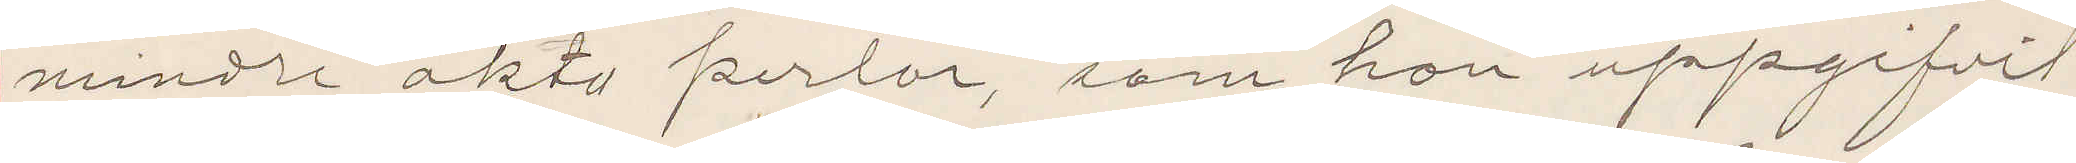mindre äkta perlor, som hon uppgifvit
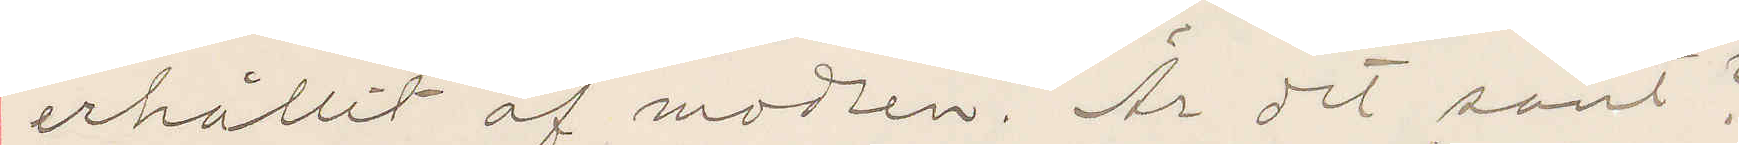erhållit af modren. Är det sant?
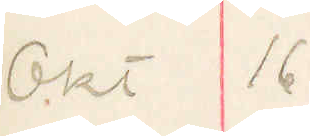Okt 16
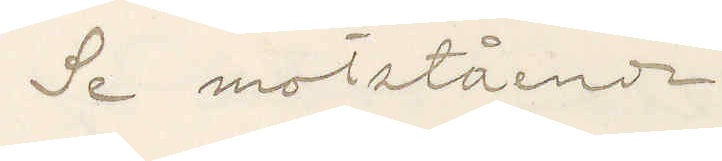Se motstående
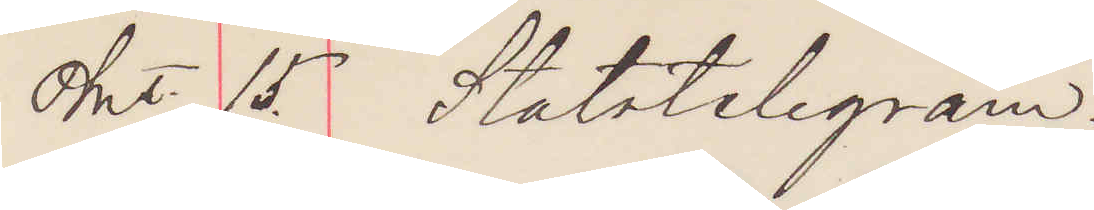Okt. 15. Statstelegram
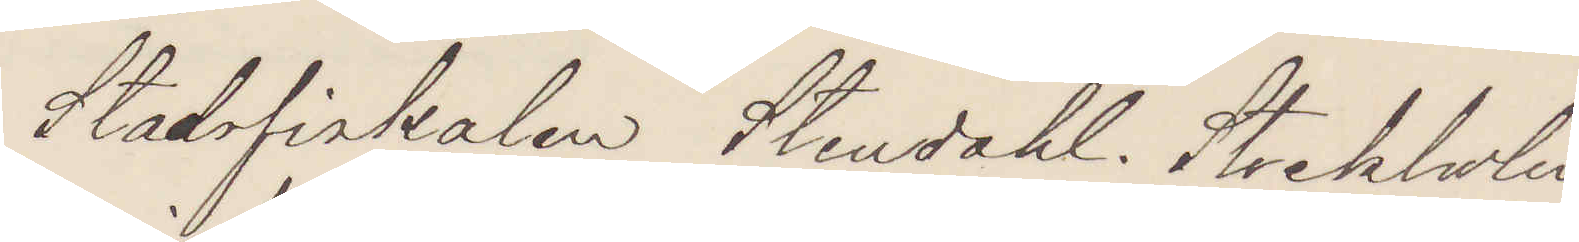Stadsfiskalen Stendahl. Stockholm.
